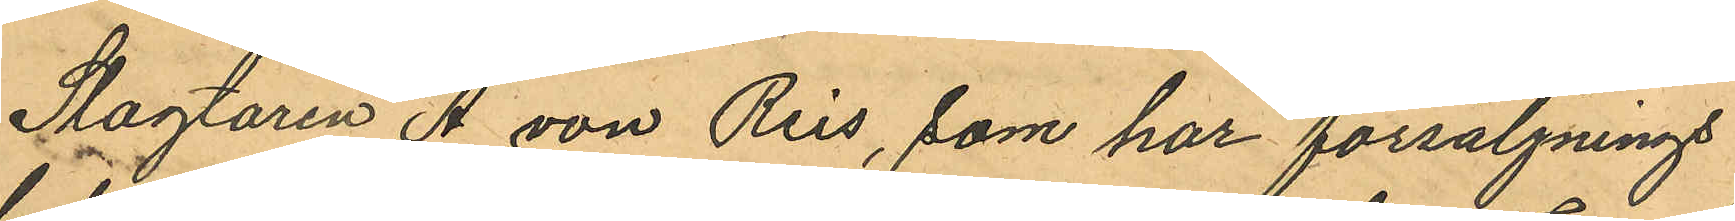Slagtaren A. von Reis, som har försäljnings
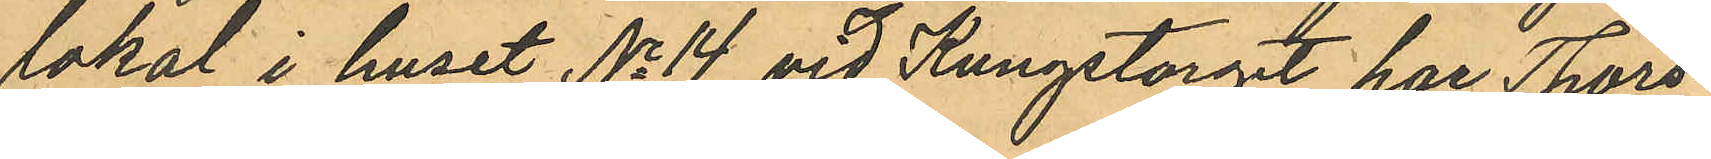lokal i huset No 14 vid Kungstorget har Thors¬
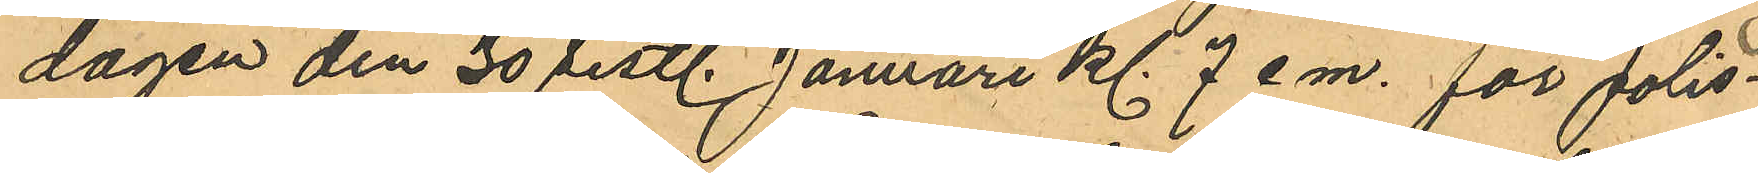dagen den 30 sistl. Januari kl 7 e.m. för polis¬
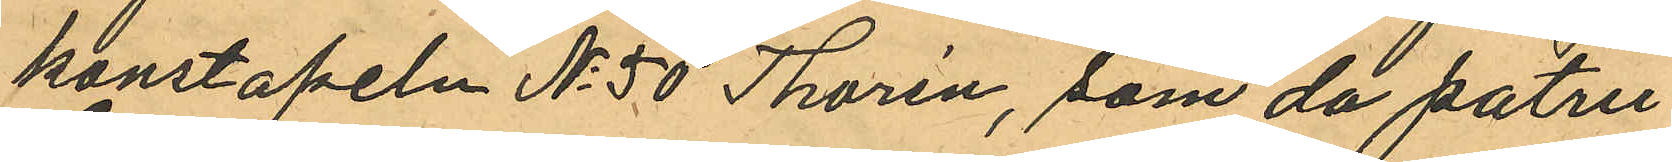konstapeln No 50 Thorén, som då patru¬
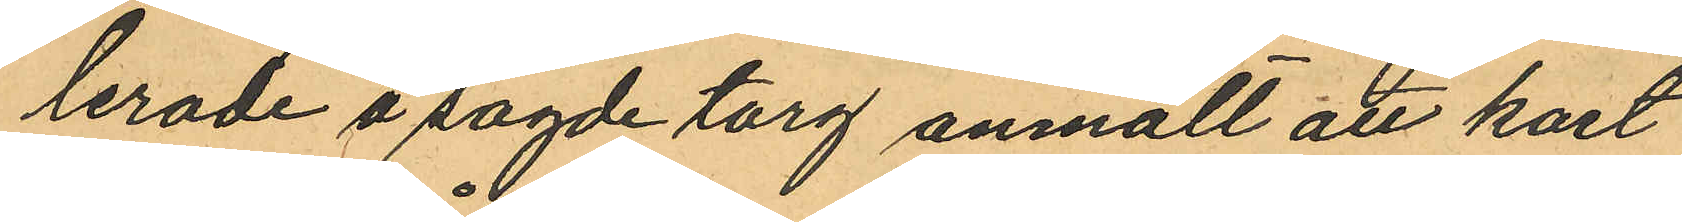lerade å sagde torg anmält att kort
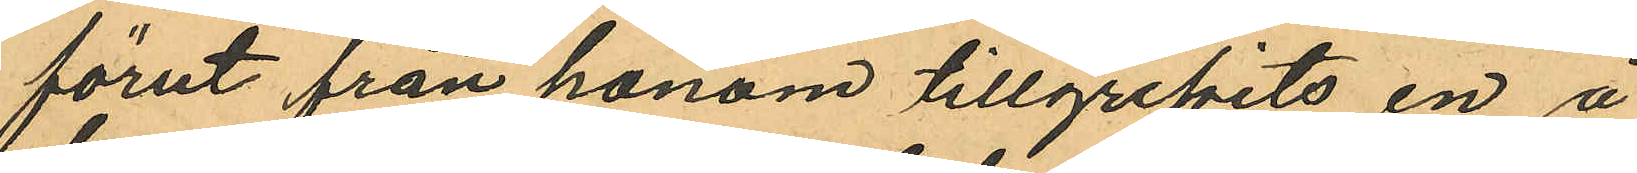förut från honom tillgripits en å
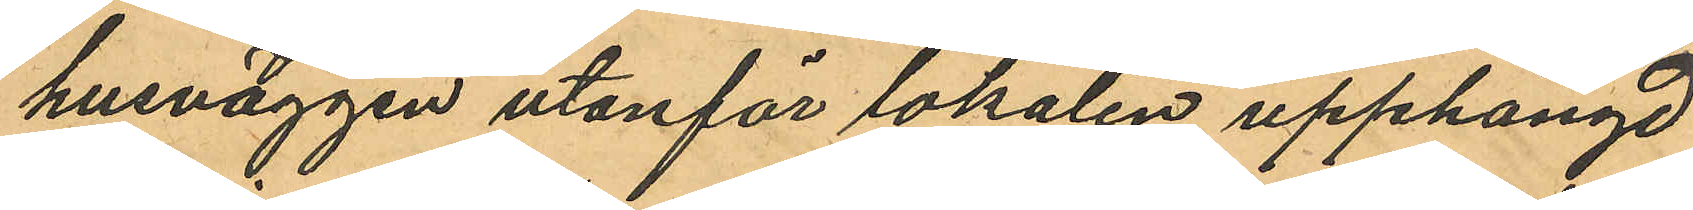husväggen utanför lokalen upphängd
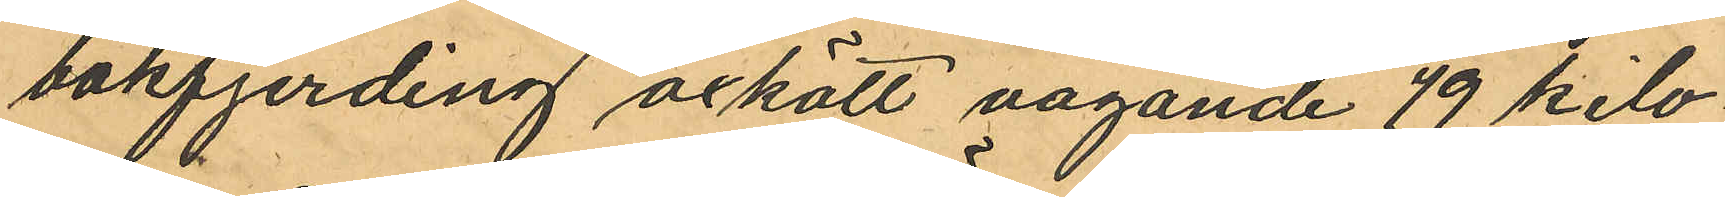bakfjerding oxkött vägande 49 kilo
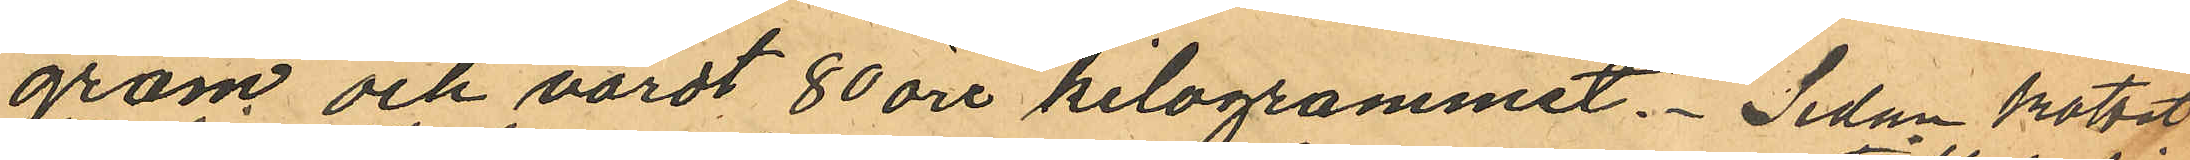gram och värdt 80 öre kilogrammet. Sedan köttet
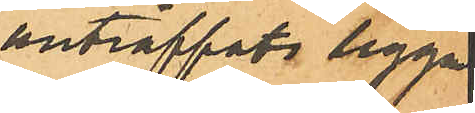anträffats liggan
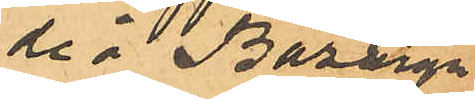de i Bazaga
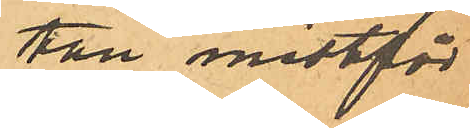tan midtför
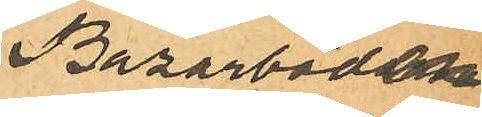Bazarboden
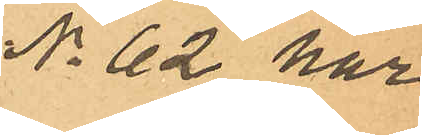No 62 har
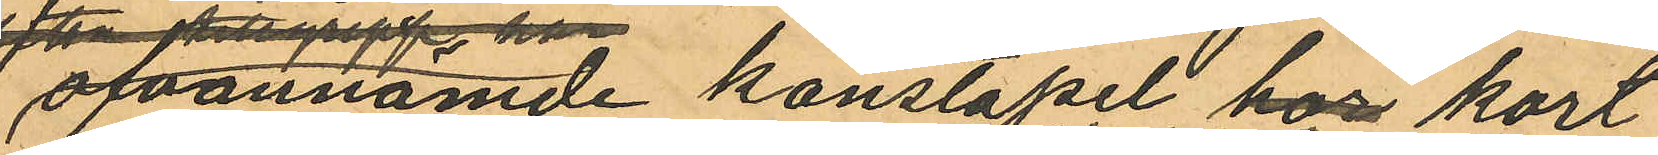ofvannämde konstapel hos kort
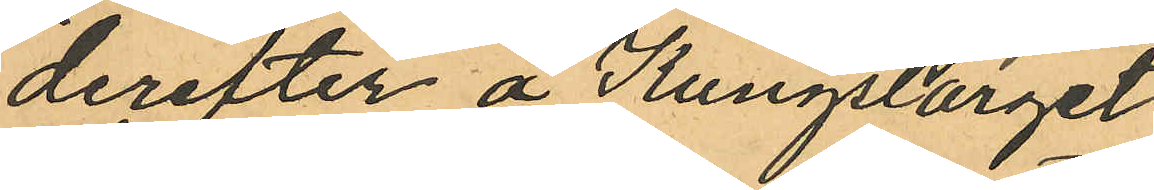derefter å Kungstorget
